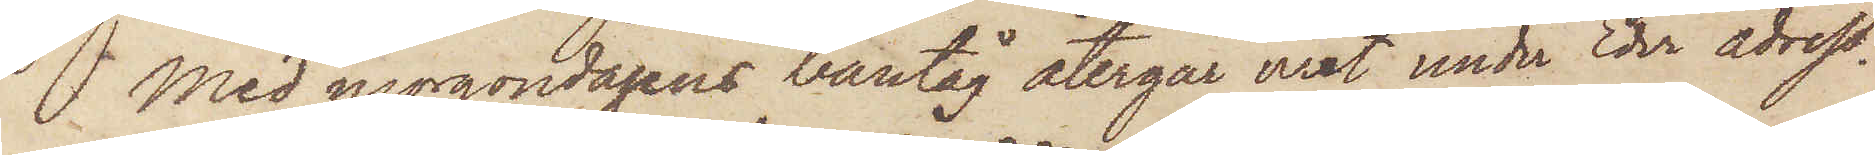Med morgondagens bantåg återgår uret under Eder adress.
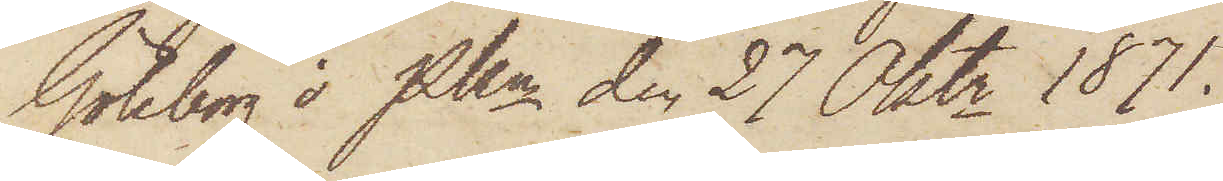Göteborg i Pkn den 27 Oktr 1871.
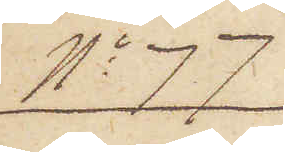No 77
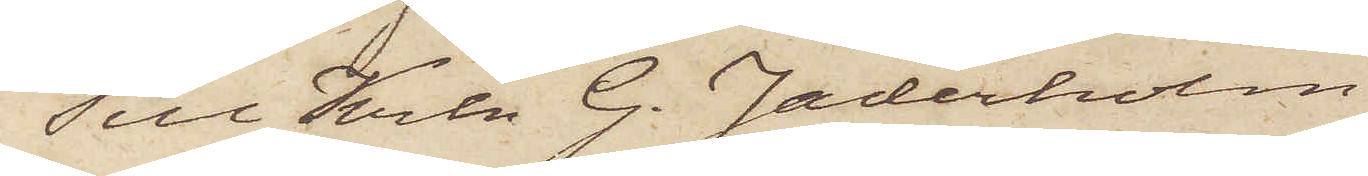Till Krln G. Jäderholm
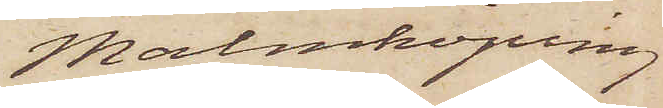Malmköping
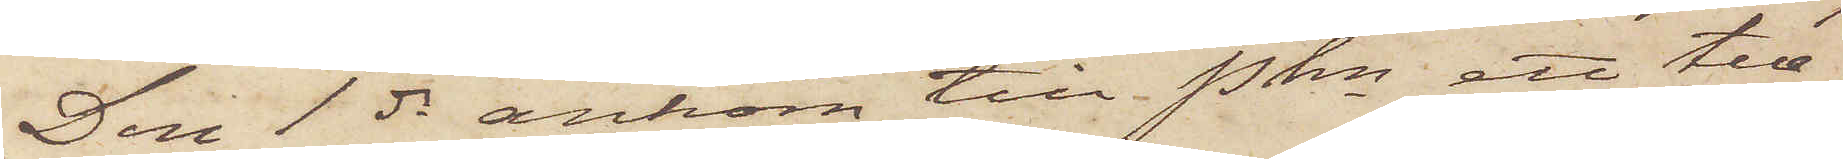Den 1 ds ankom till Pkn ett tele¬
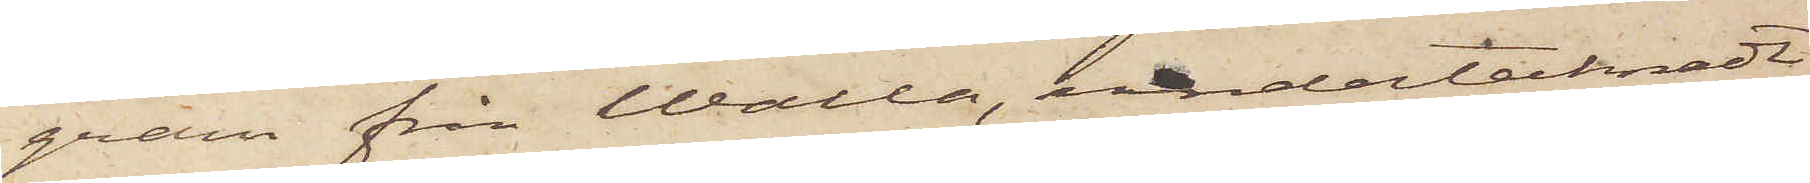gram från Walla, undertecknadt
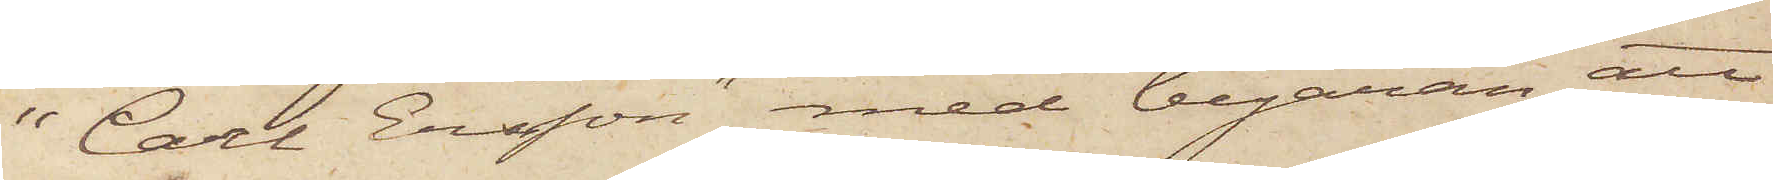"Carl Ersson" med begäran att
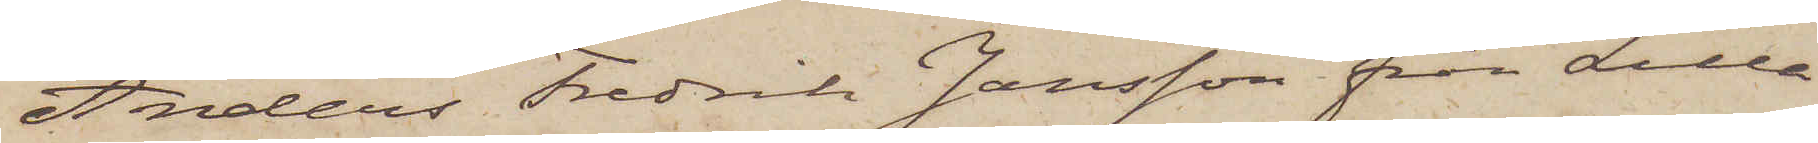Anders Fredrik Jansson från Lilla
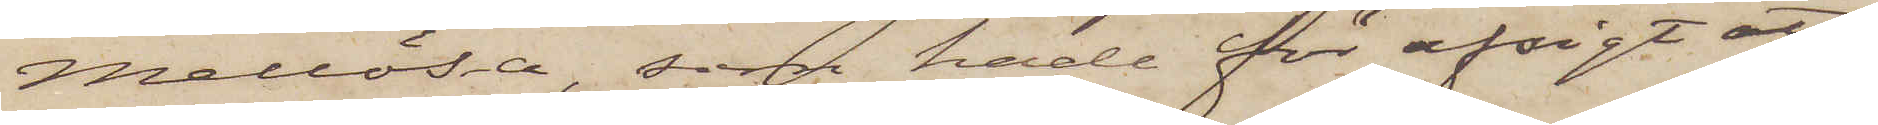Mellösa, som hade för afsigt att
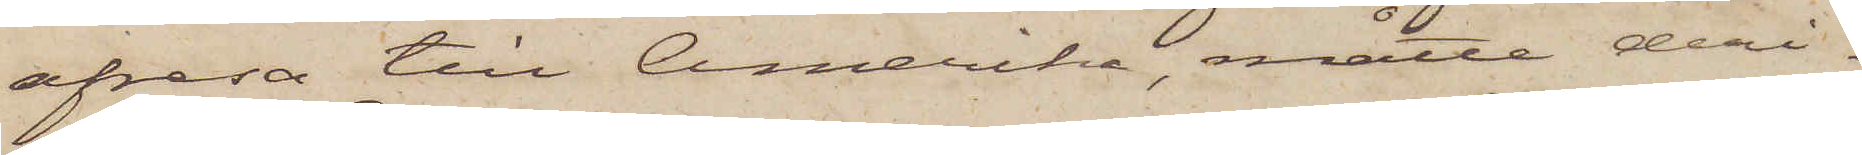afresa till Amerika, måtte deri¬
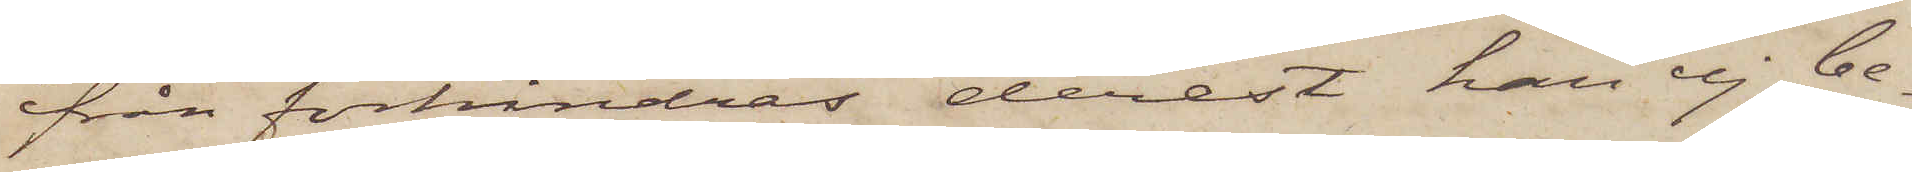från förhindras derest han ej be¬
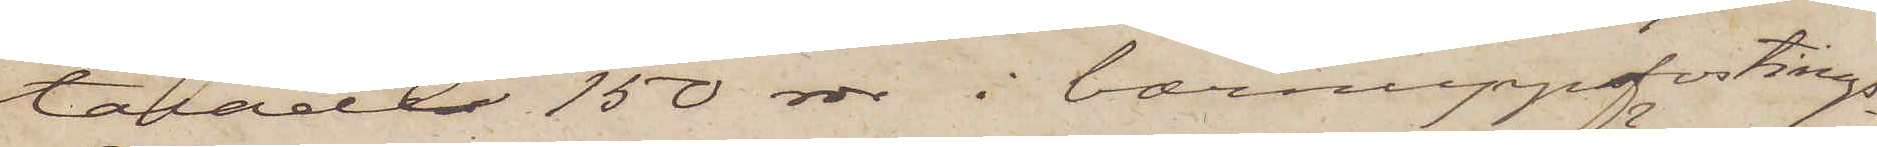talade 150 rdr i barnuppsfostrings¬
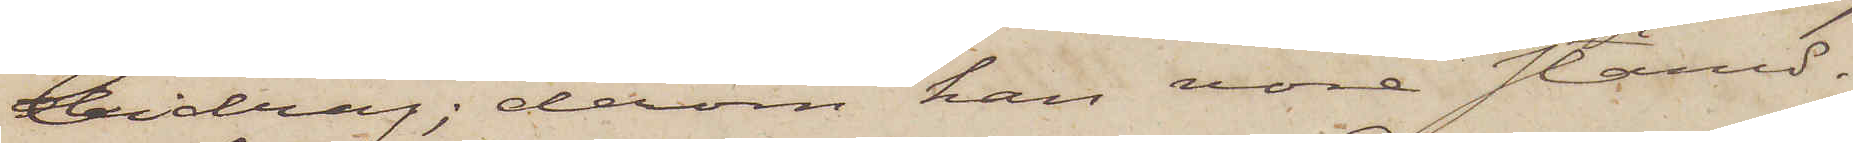bidrag; derom han vore stämd.
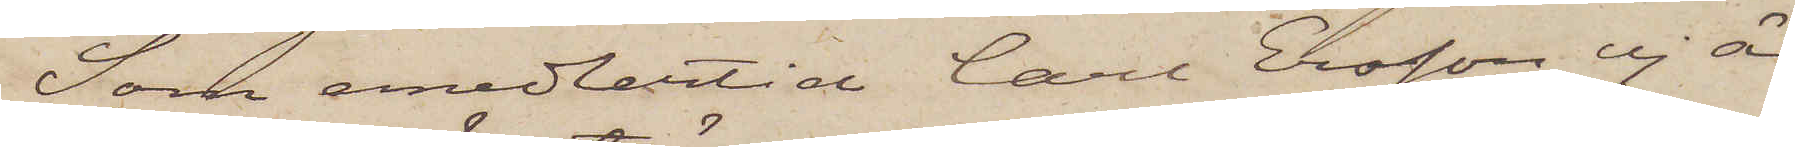Som emedlertid Carl Olsson ej är
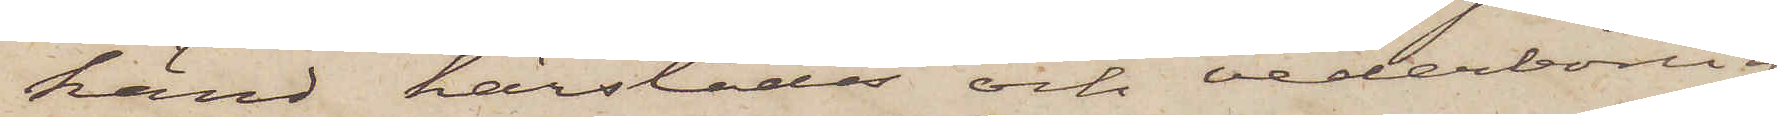känd härstädes och vederbörlig
